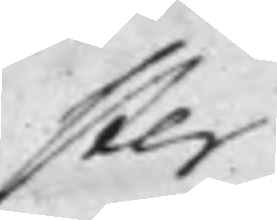ster
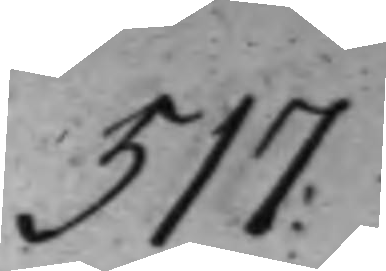517.
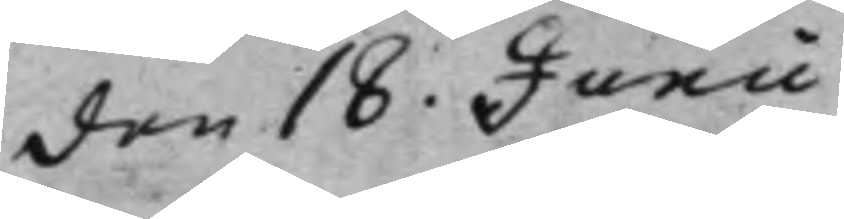den 18. Junii
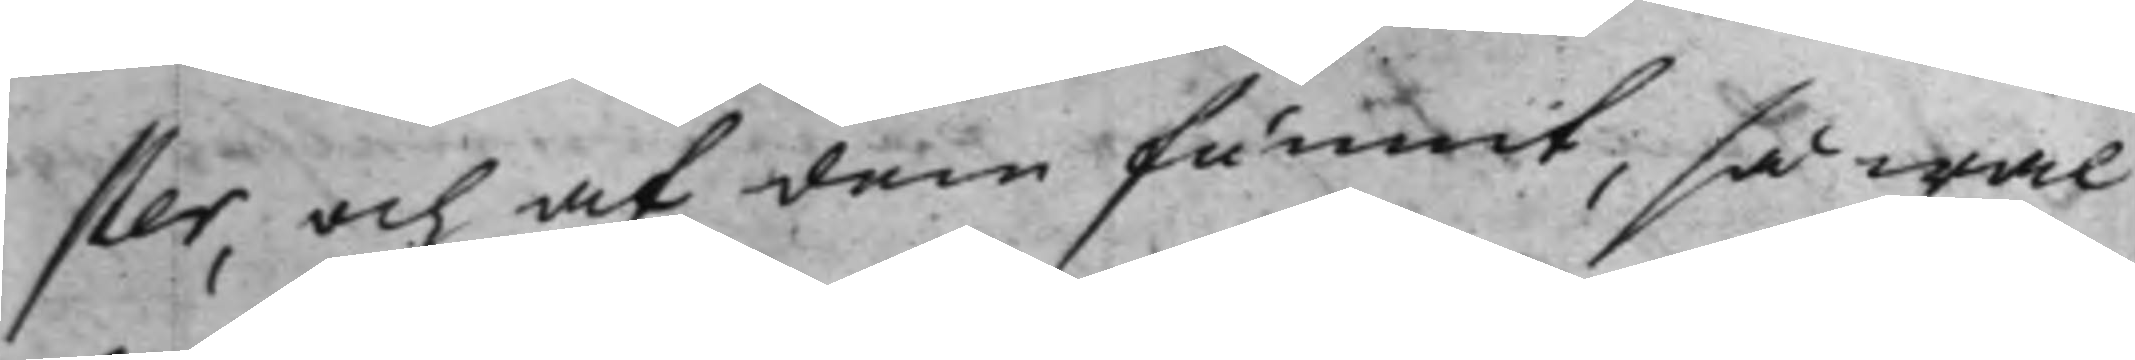ster och af dem funnit, så wäl
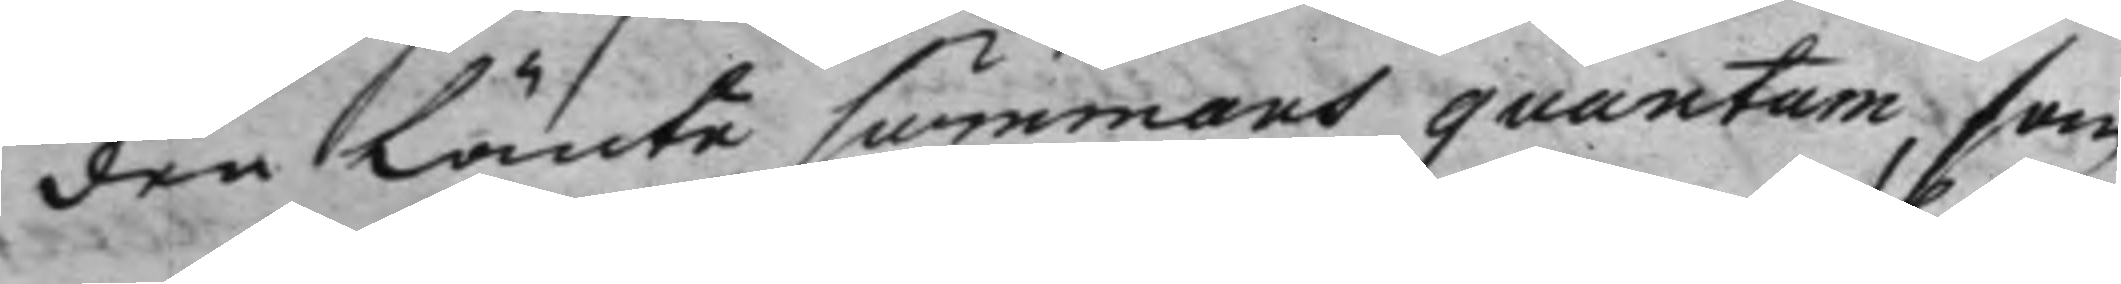den lånte summans quantum, som
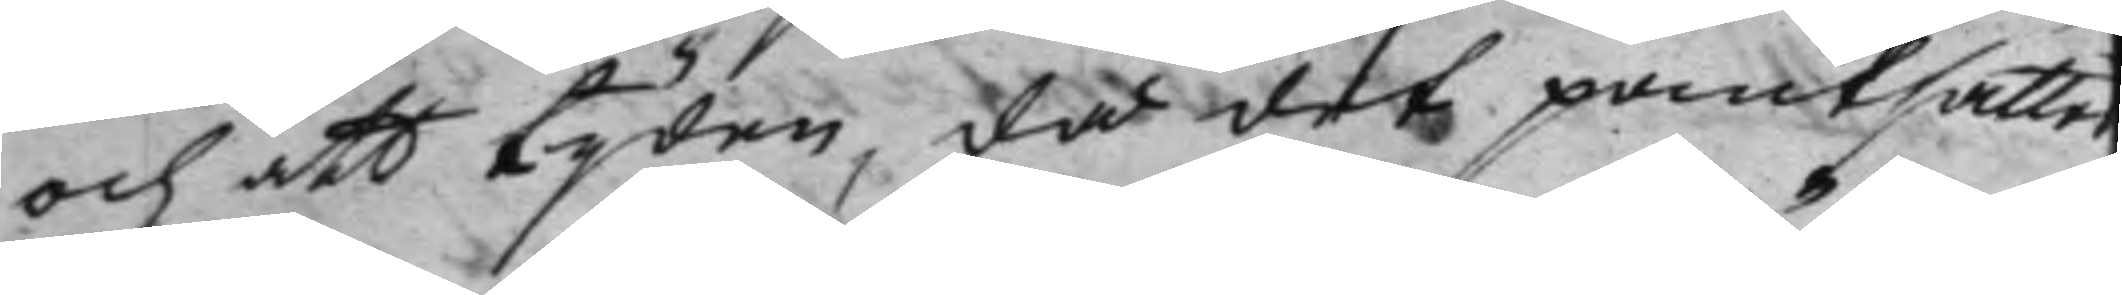och att tijden, då det pantsatte,
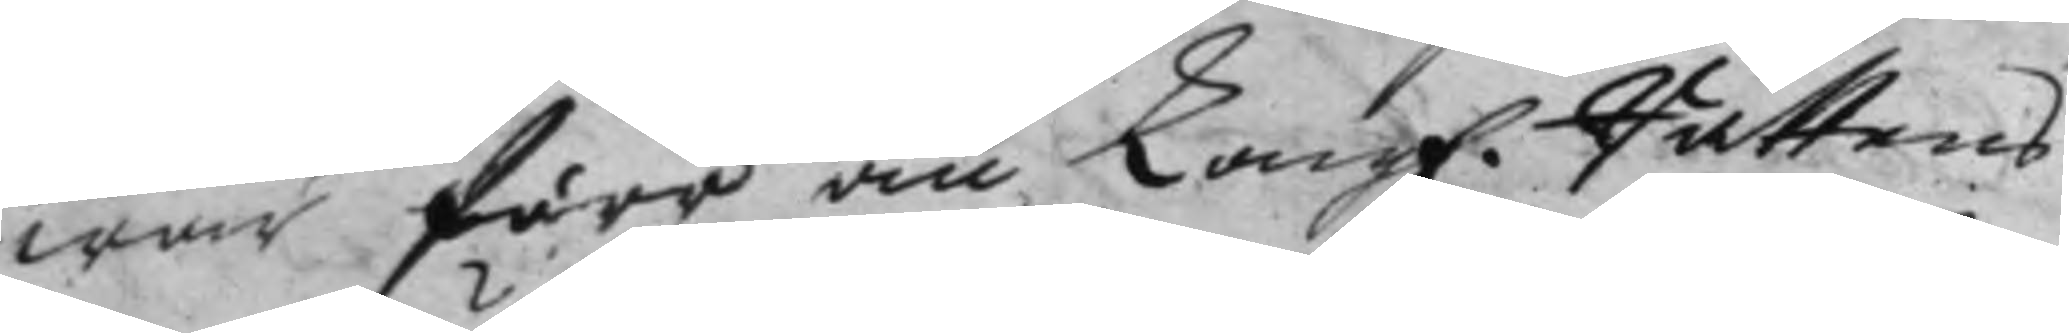war förr än Kong. Rättens
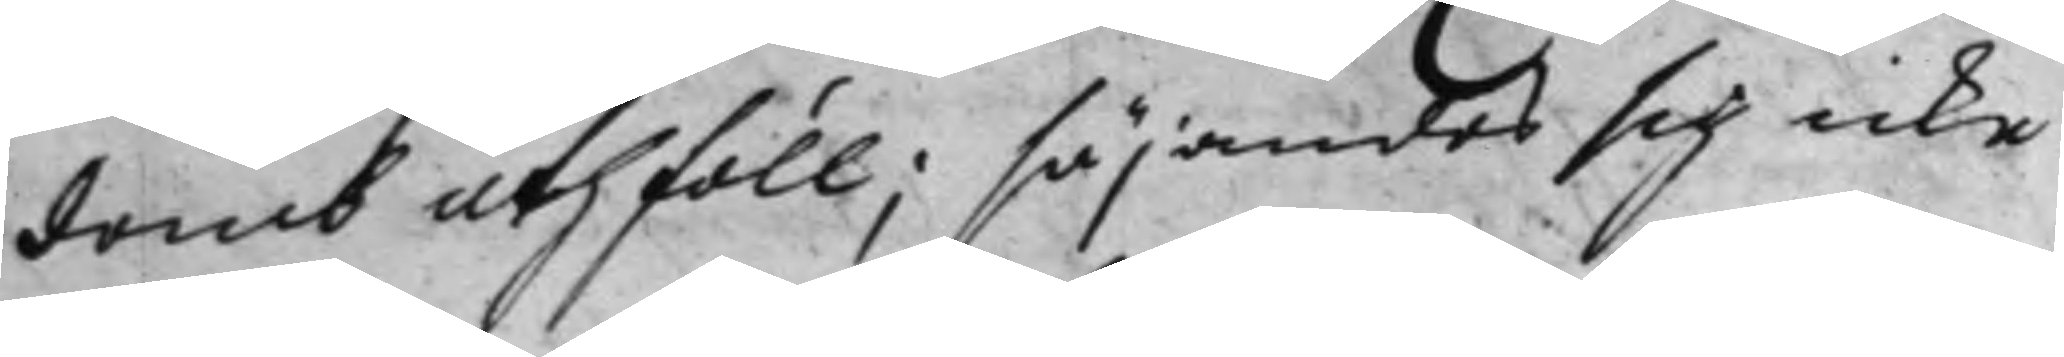domb uthföll; ,säjandes sig icke
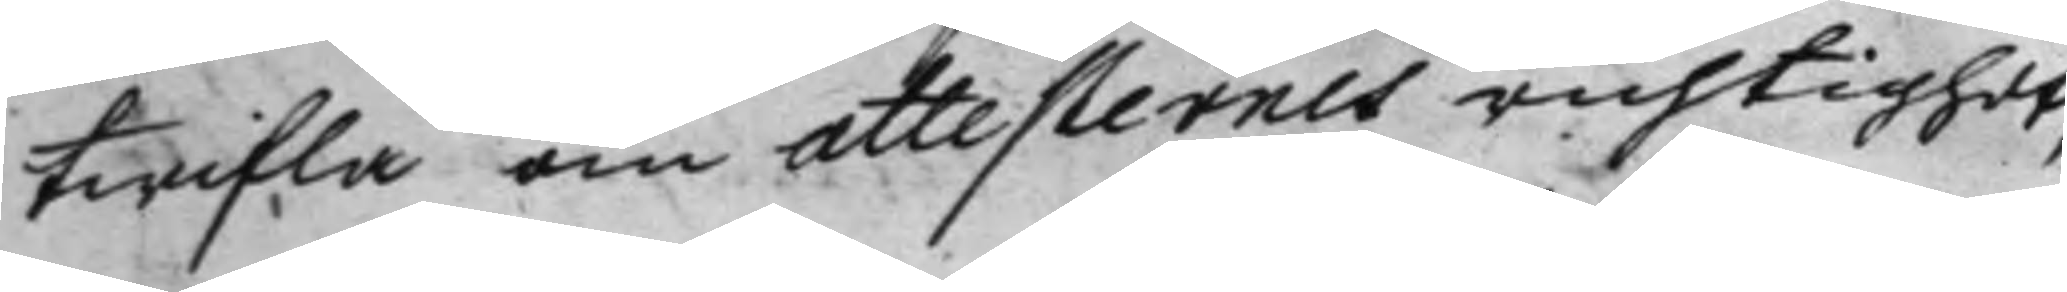twifla om attesternes richtighet,
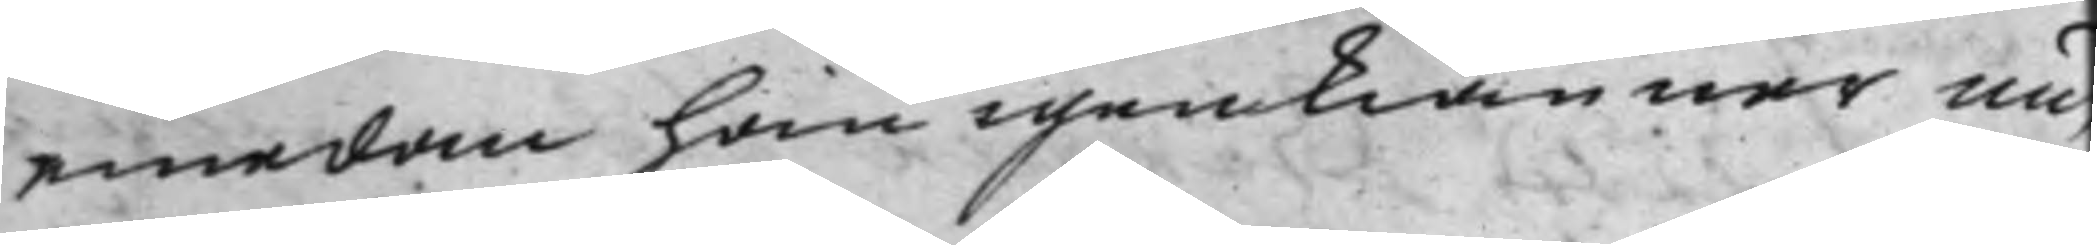emedan han igenkänner un¬
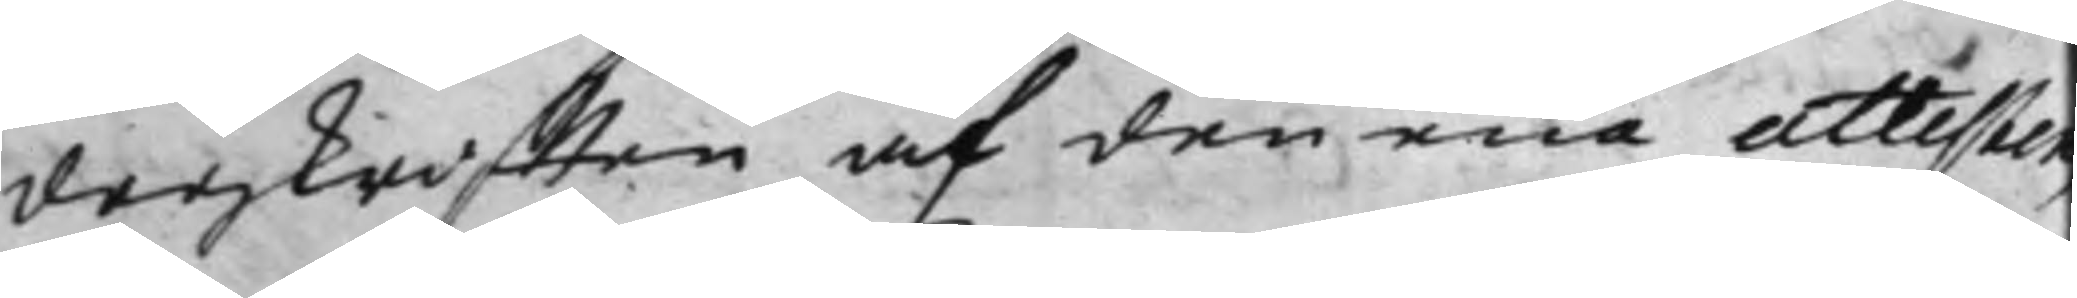derskrifften af den ena attesten,
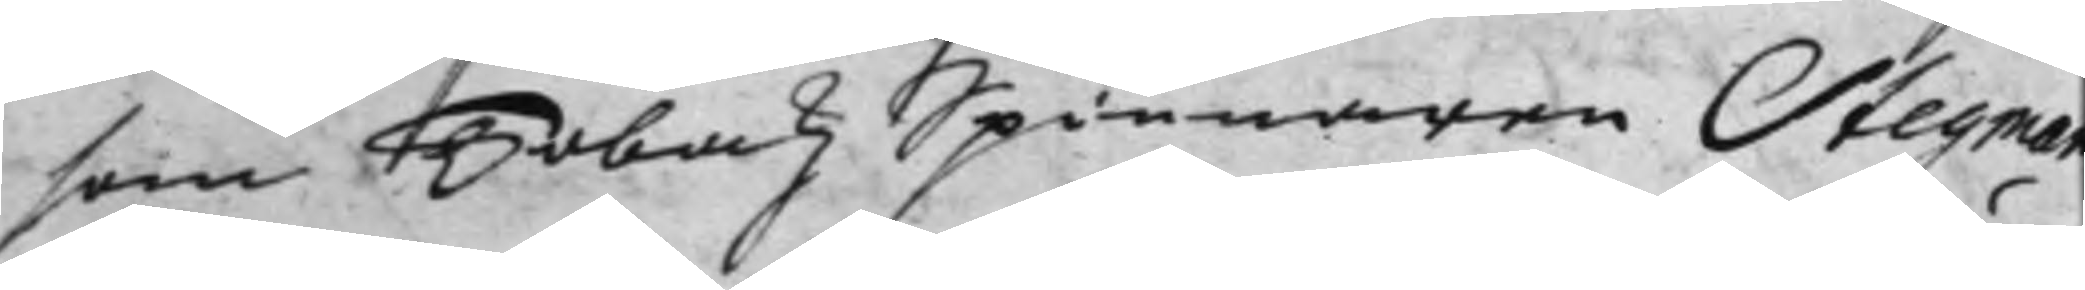som Tobakz Spinnaren Stegman
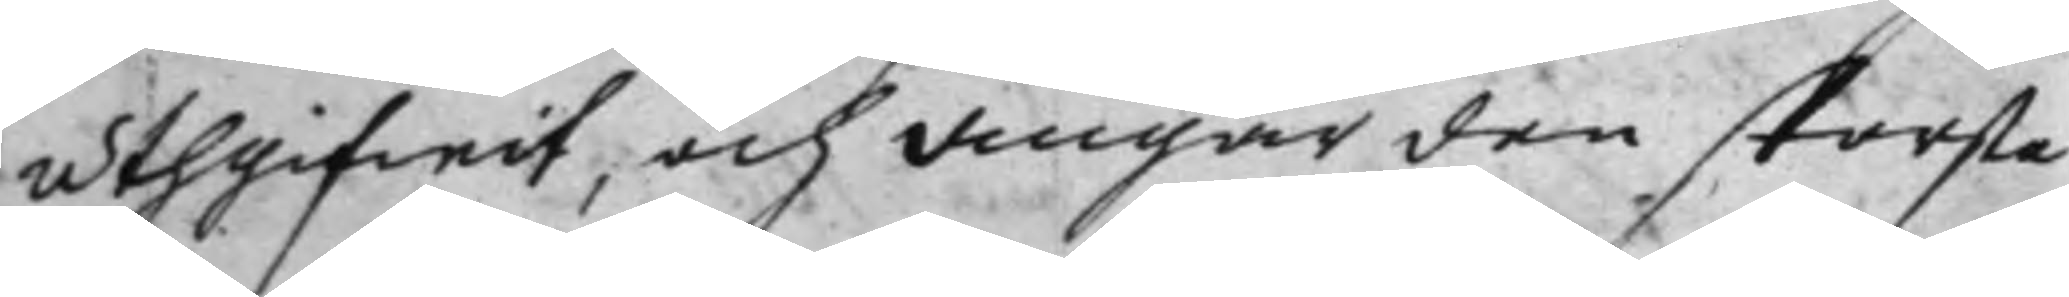uthgifwit, och angår den största
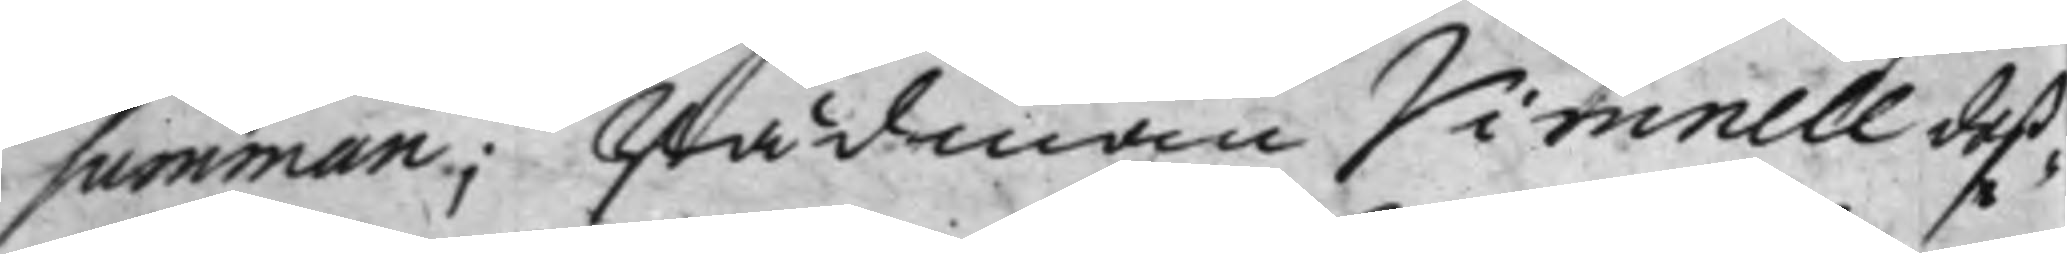summan; Rådman Vimnell deß¬
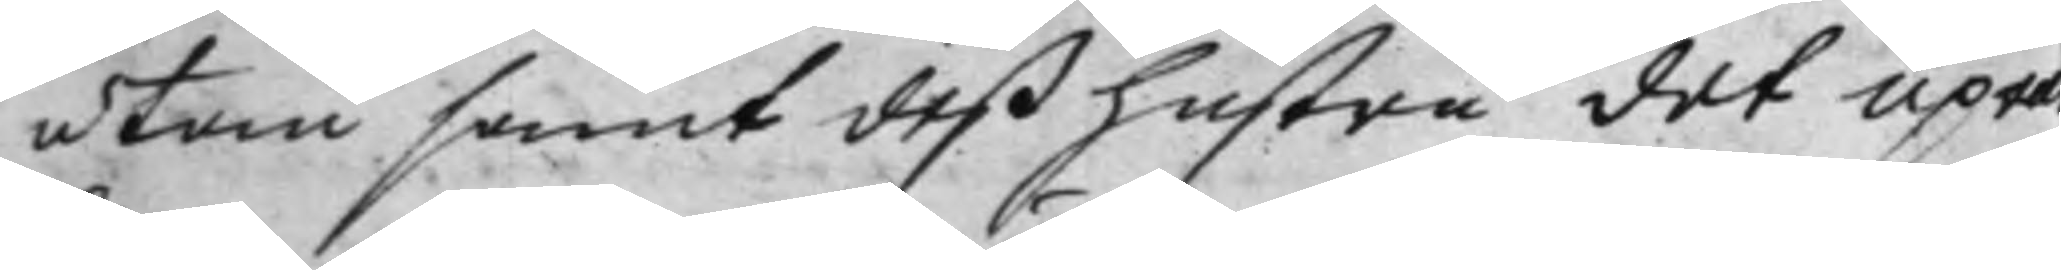utom samt deß hustru det upprä¬
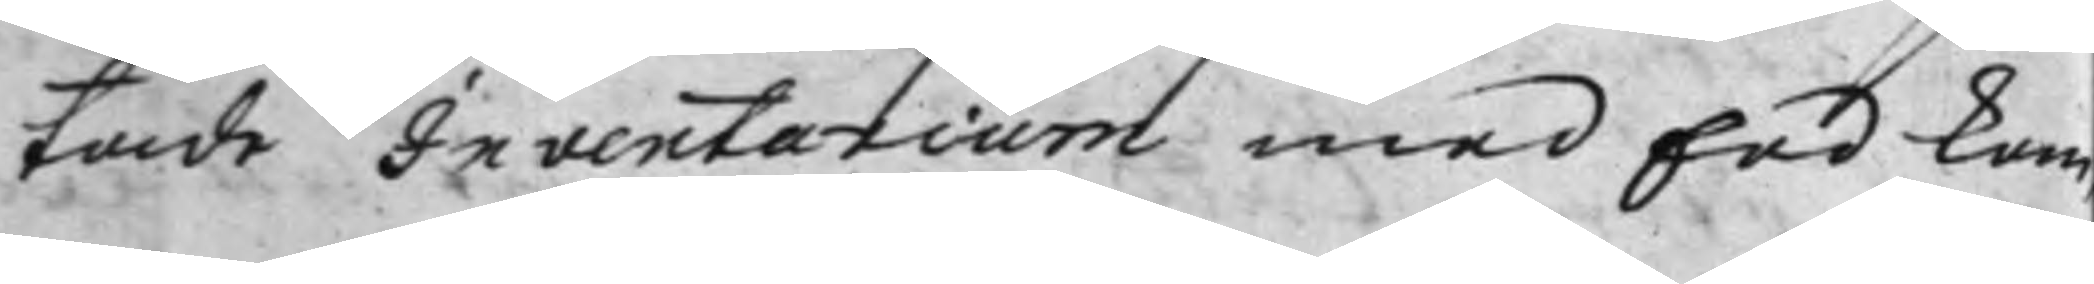tade Inventarium med Eed kom¬
